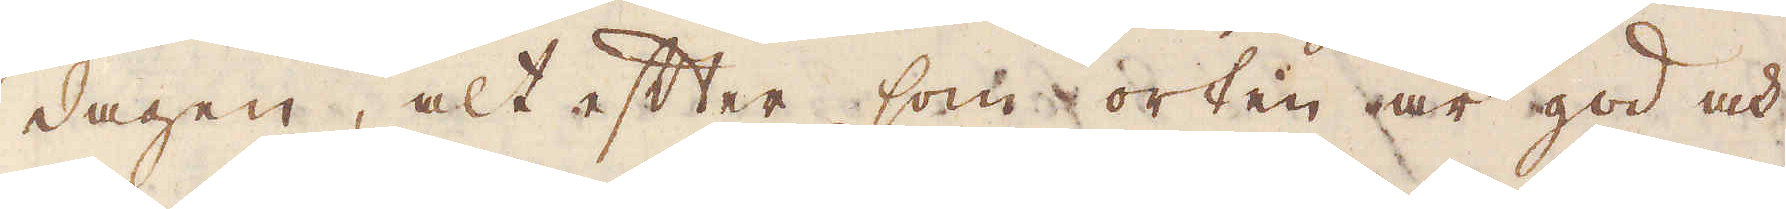dagen, alt efter som orten är god och
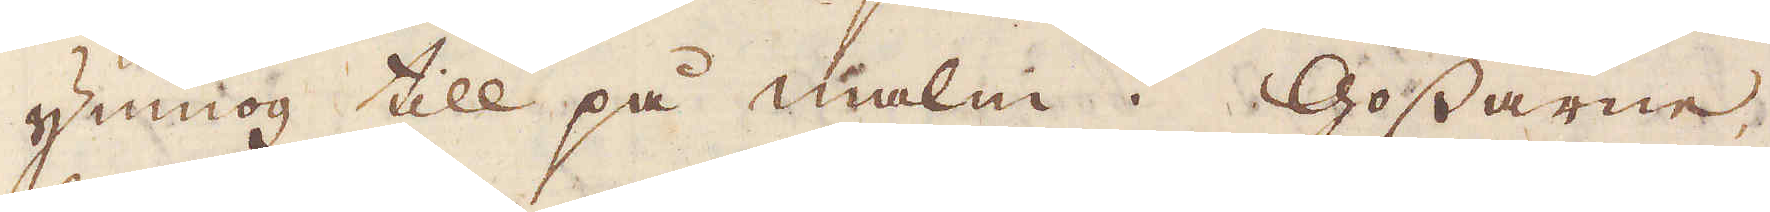ymnog till på malm. Gossarne
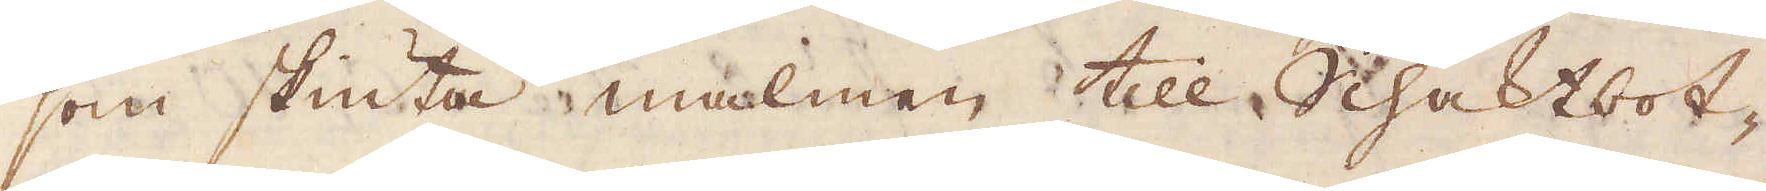som skiuta malmen till Schaktbot-
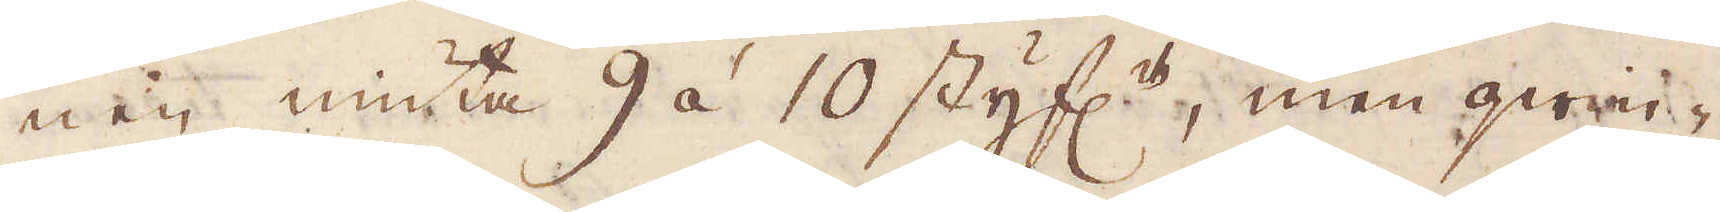nen niuta 9 à 10 styf:r, men qwin-
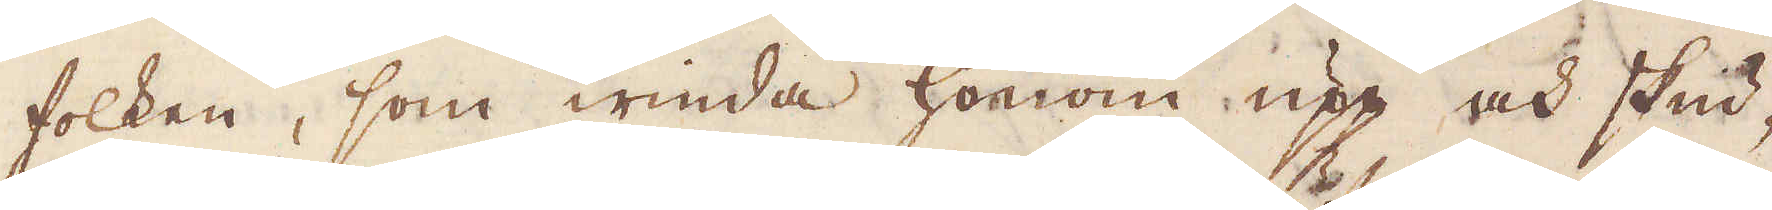folken, som winda honom upp och skud-
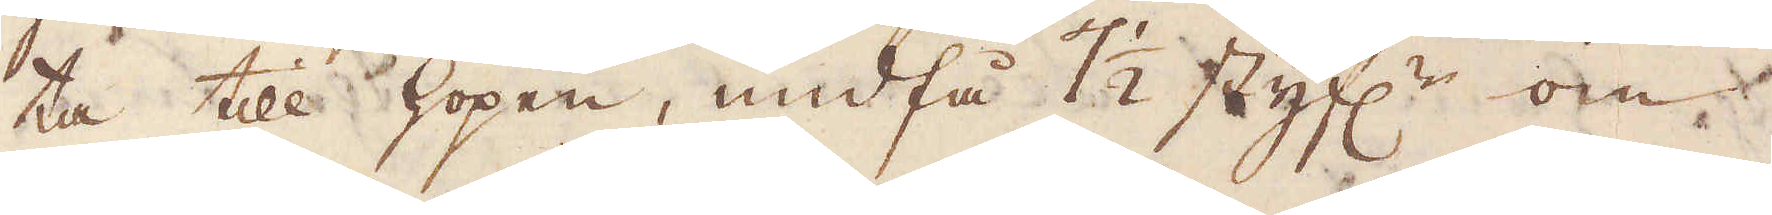ta till hopen, undfå 7 1/2 styf:r om
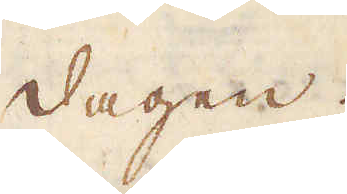dagen.
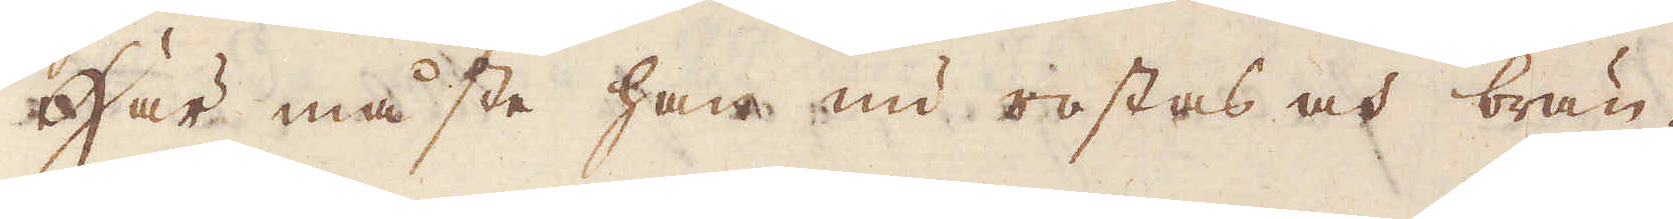Här måste han nu rostas och brän-
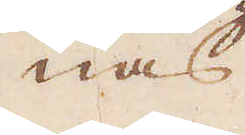nas
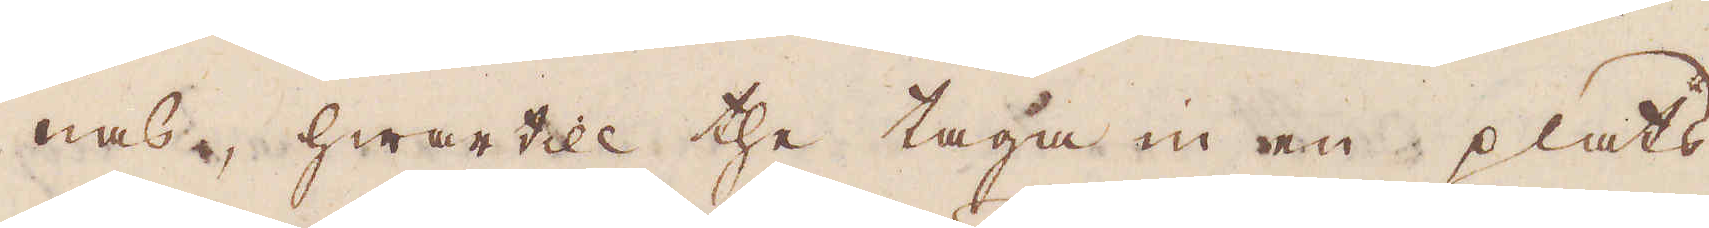nas, hwartill the taga in en plats
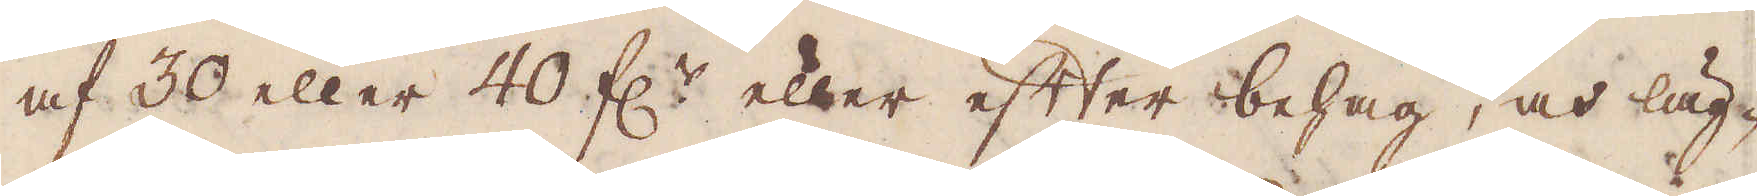af 30 eller 40 f:r eller efter behag, och läg-
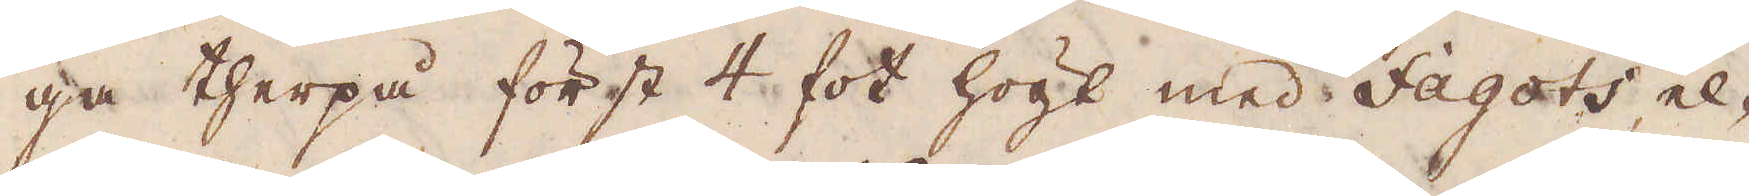ga therpå först 4 fot högt med Fagots el-
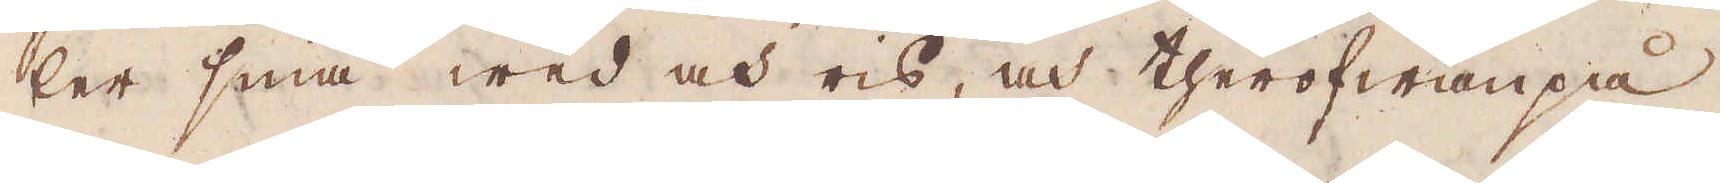ler små wed och ris, och therofwanpå
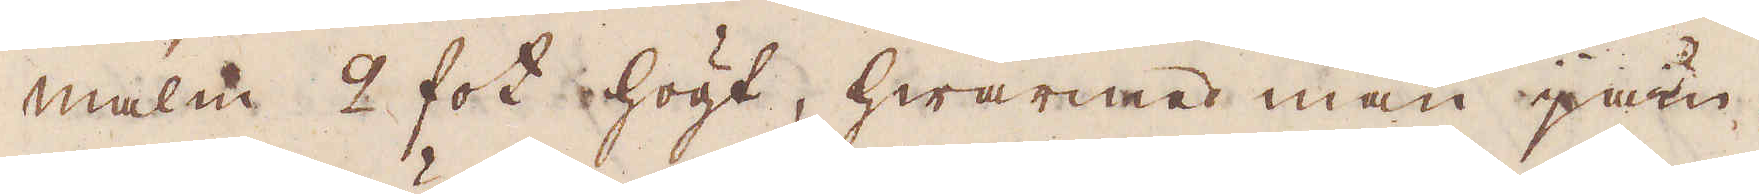malm 2 fot högt, hwarmed man jäm-
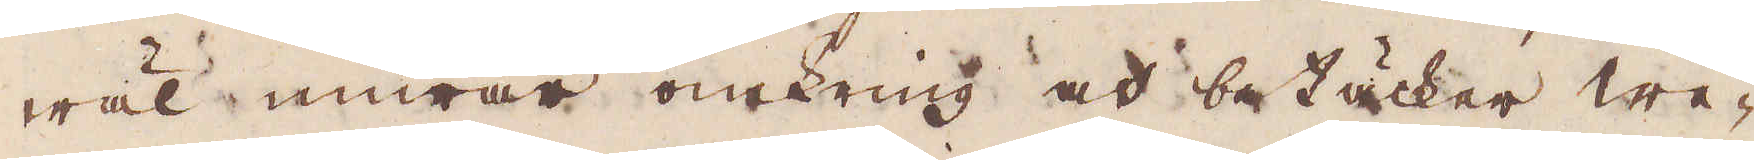wäl murar omkring och betäcker we-
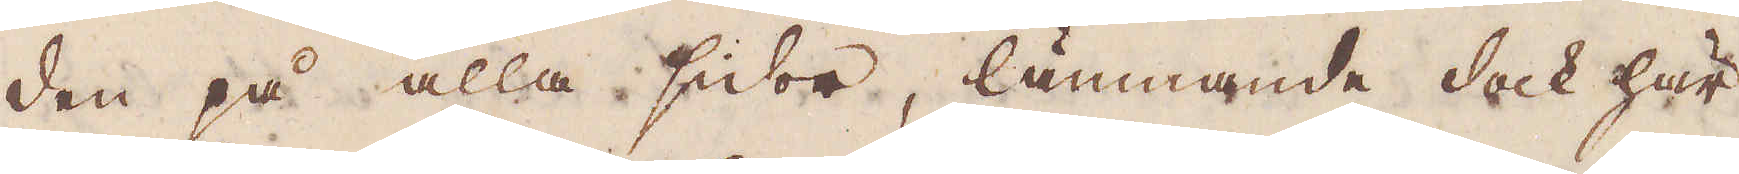den på alla sidor, lämnande dock här
